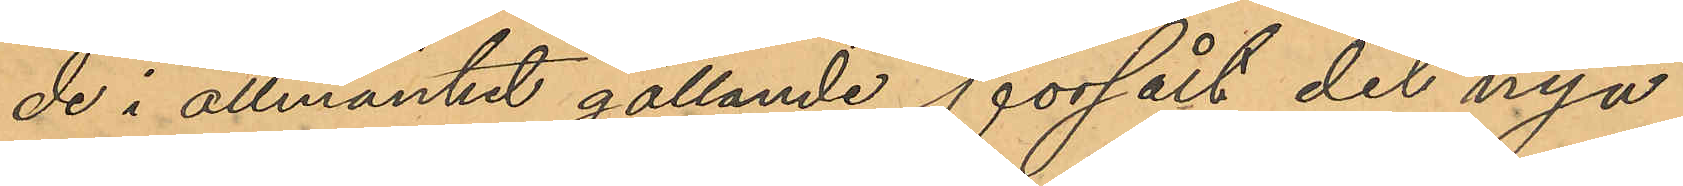de i allmänhet gällande, försålt dels nya
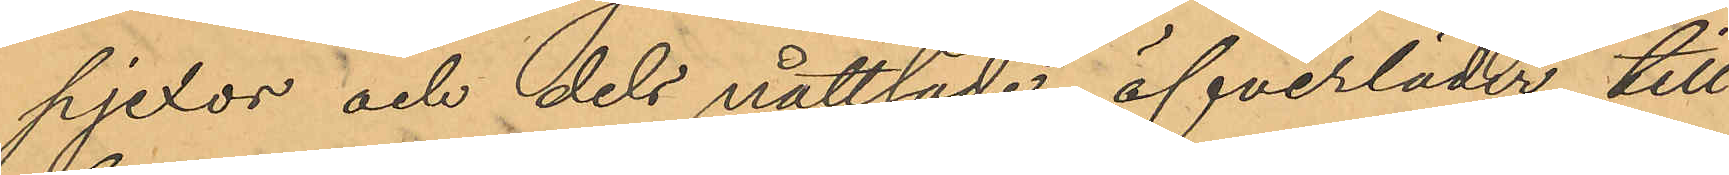pjexor och dels nåttlade öfverläder till
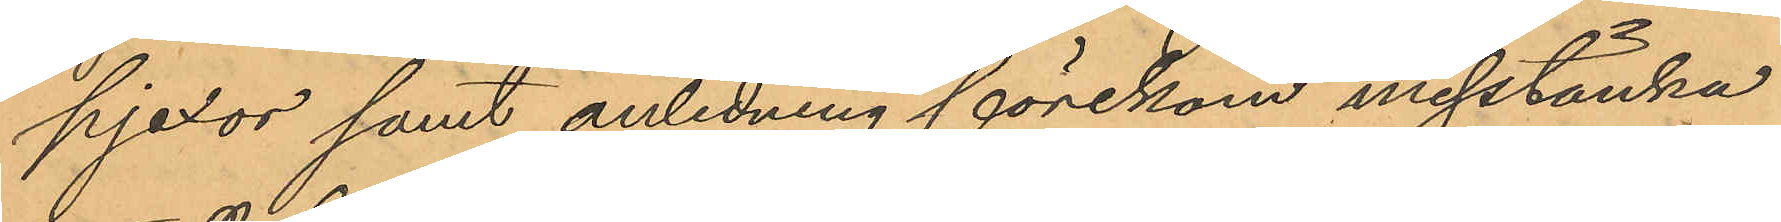pjexor samt anledning förekom misstänka
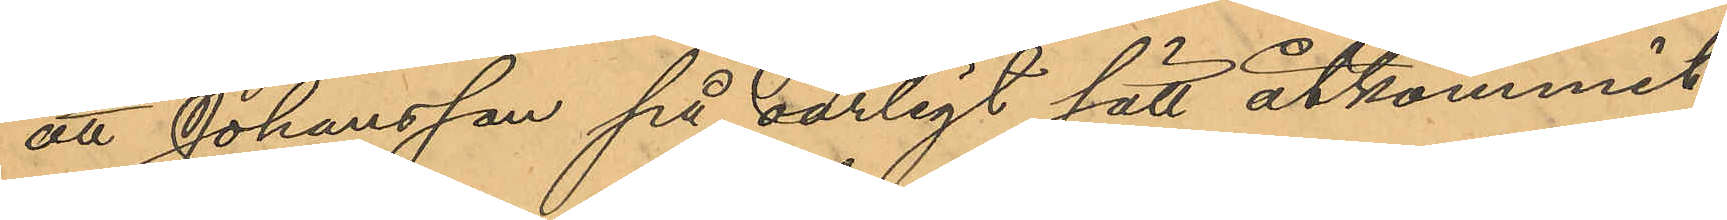att Johansson på oärligt sätt åtkommit
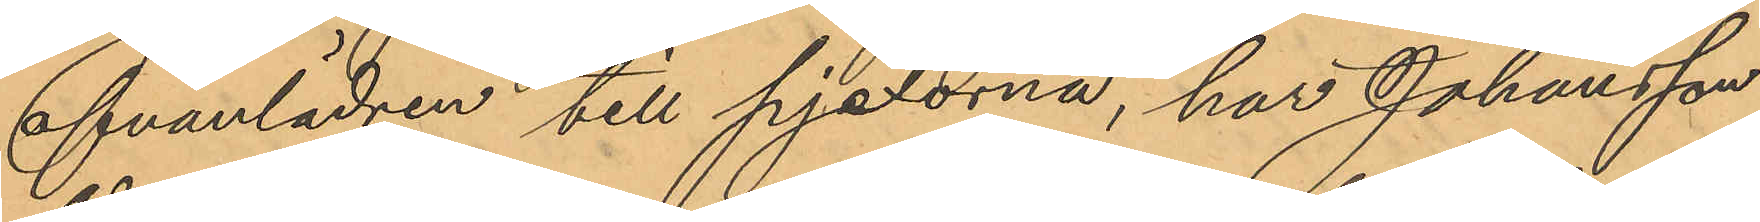ofvanlädren till pjexorna, har Johansson
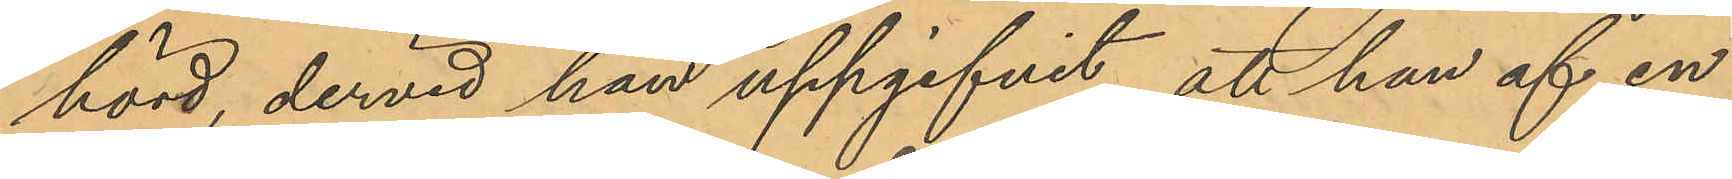hörd, dervid han uppgifvit att han af en
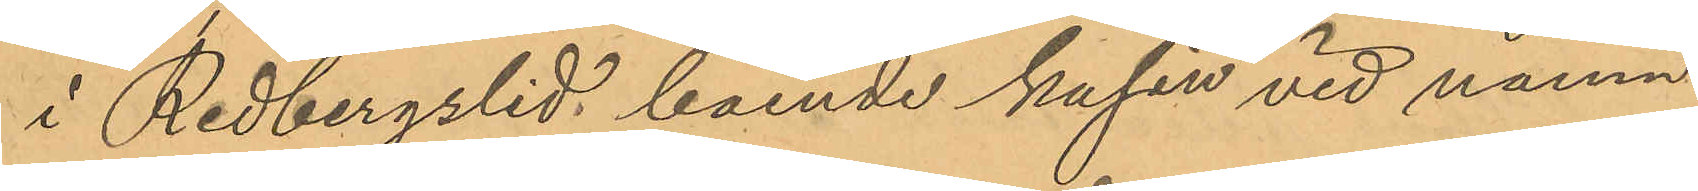i Redbergslid boende kusin vid namn
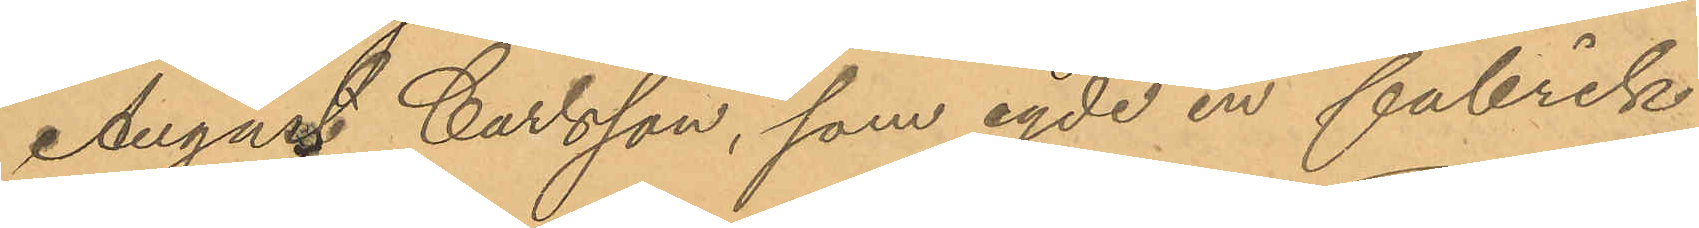August Carlsson, som egde en fabrik
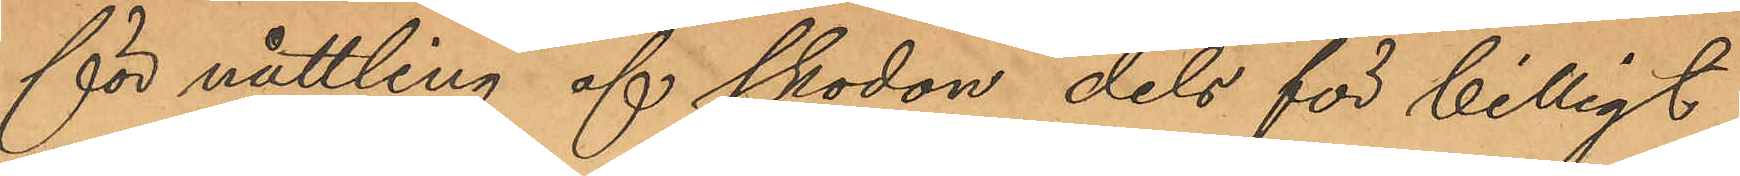för nåttling af skodon dels för billigt
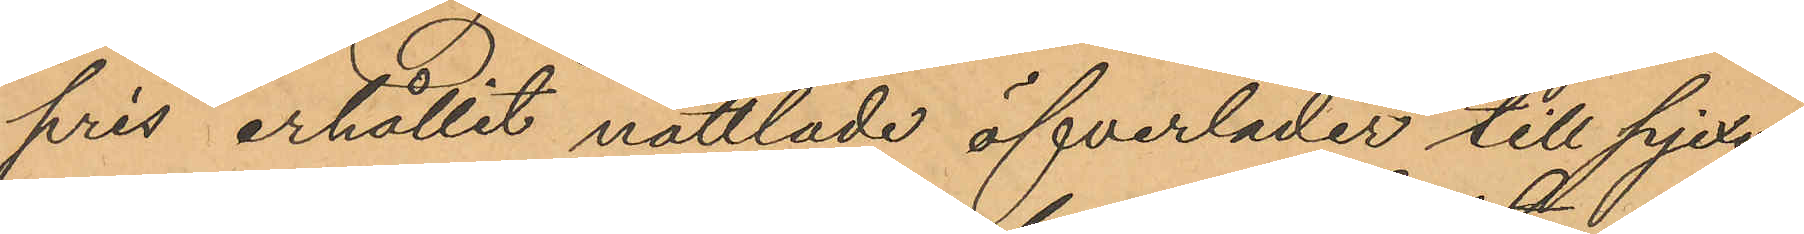pris erhållit nåttlade öfverläder till pjexor
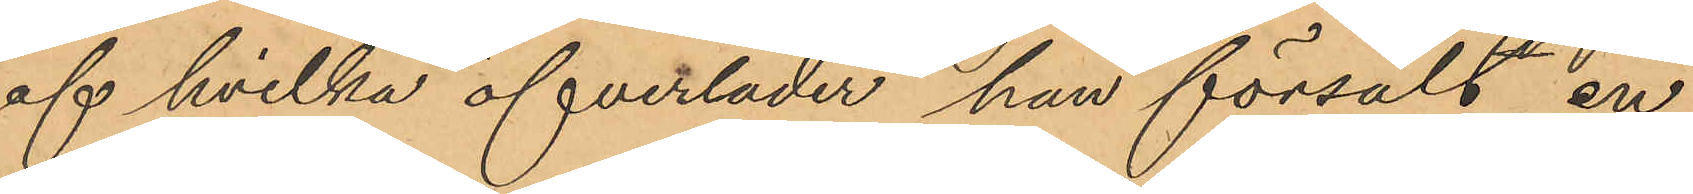af hvilka öfverläder han försålt en
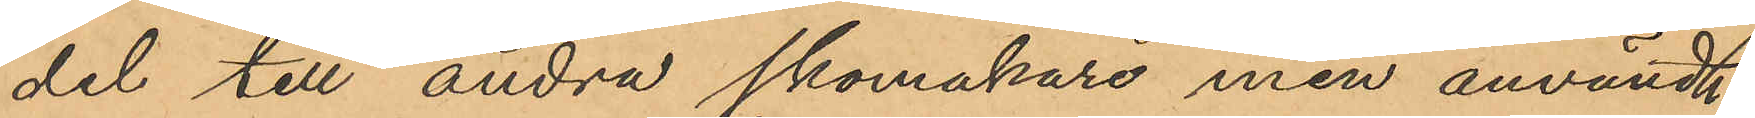del till andra skomakare men användt
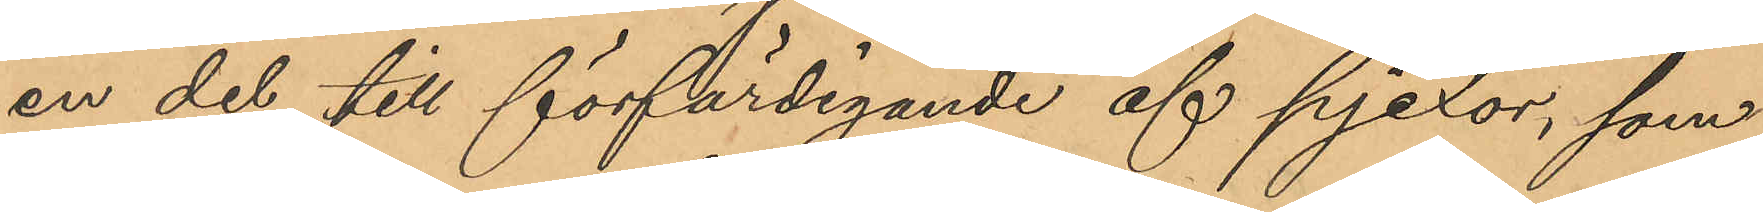en del till förfärdigande af pjexor, som
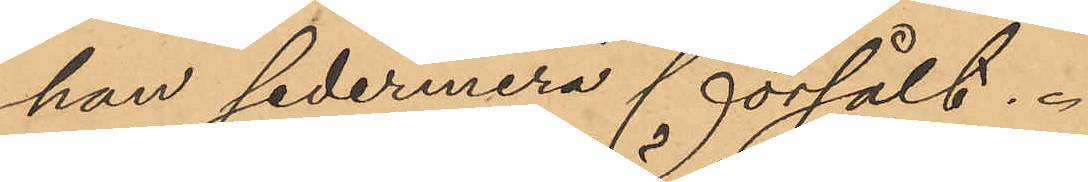han sedermera försålt.
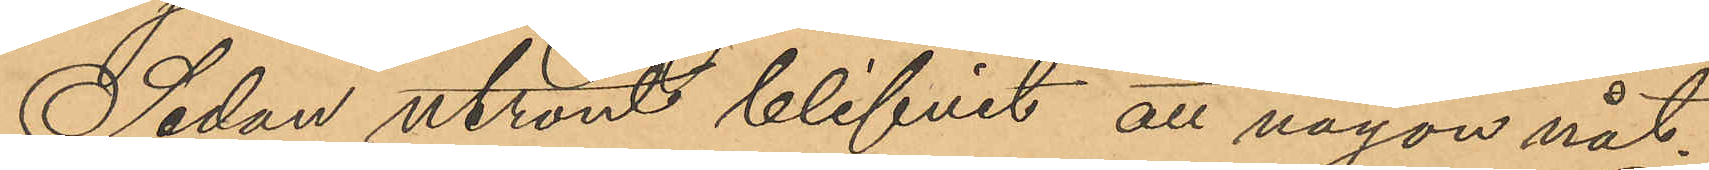Sedan utrönt blifvit att någon nåt¬
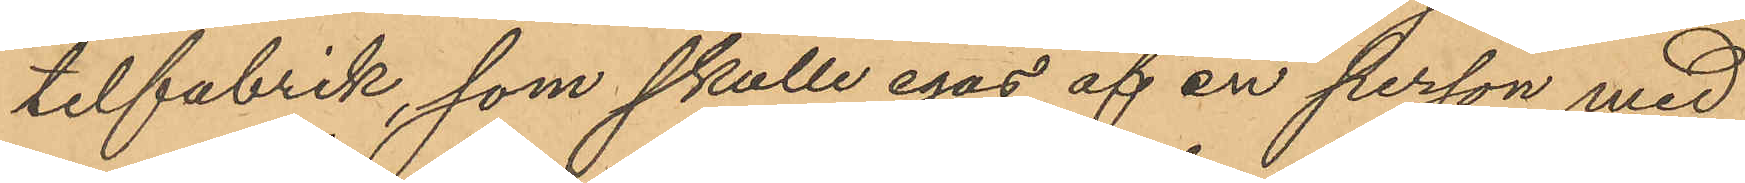telfabrik, som skulle egas af en person med
